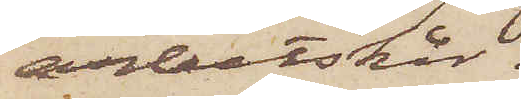arbetskår.
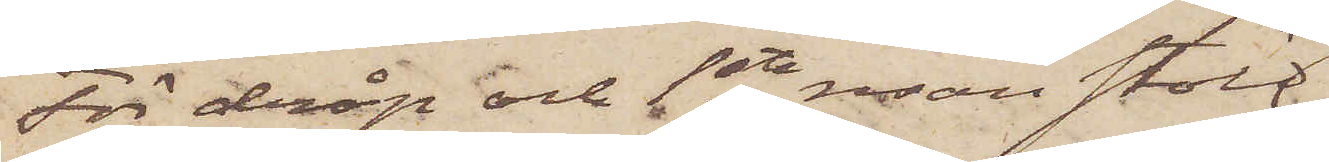För dråp och 1ste resan stöld
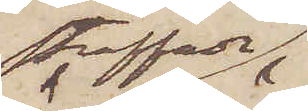straffade
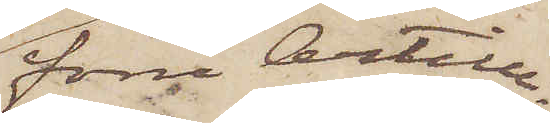förre Artill¬
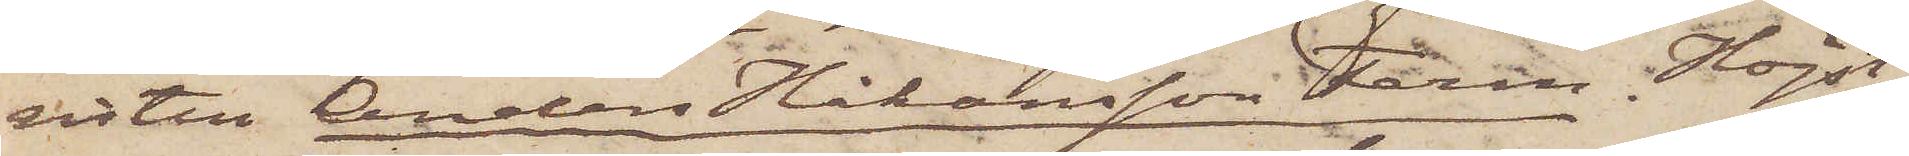sisten Anders Johansson Ferm. Högst
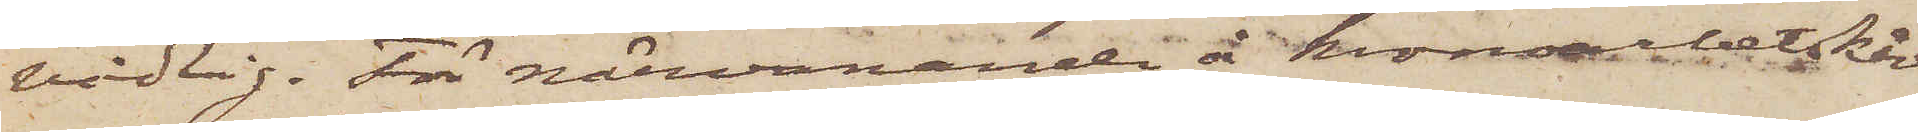vådlig. För närvarande å kronoarbetskår.
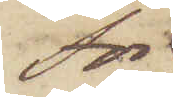För
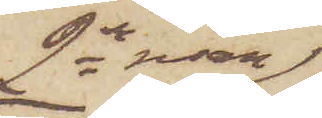2dra resan
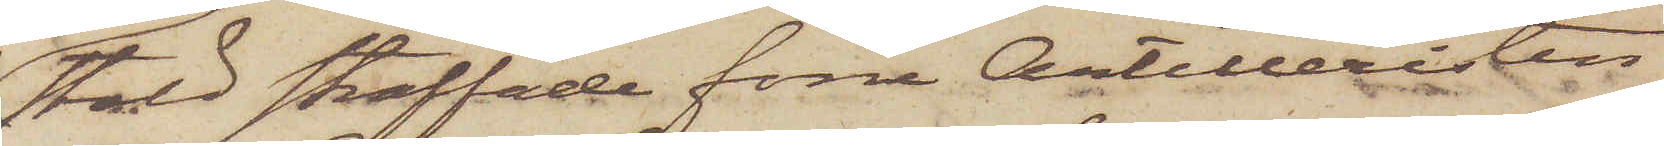stöld straffade förre Artilleristen
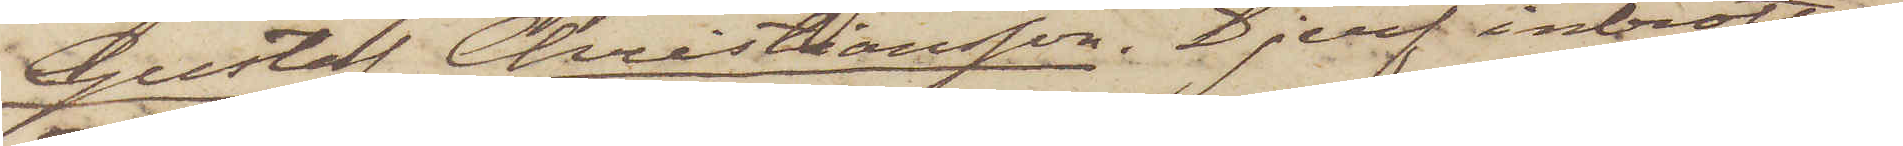Gustaf Christiansson. Djerf inbrotts¬
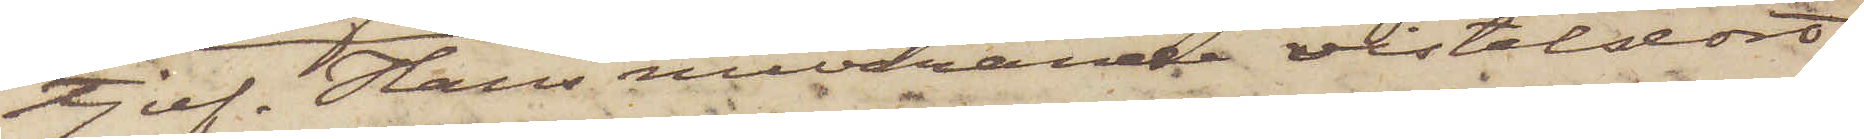tjuf. Hans nuvarande vistelsort
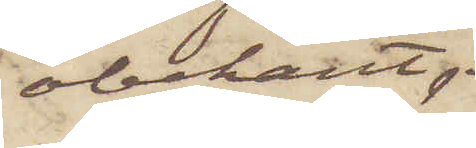obekant.
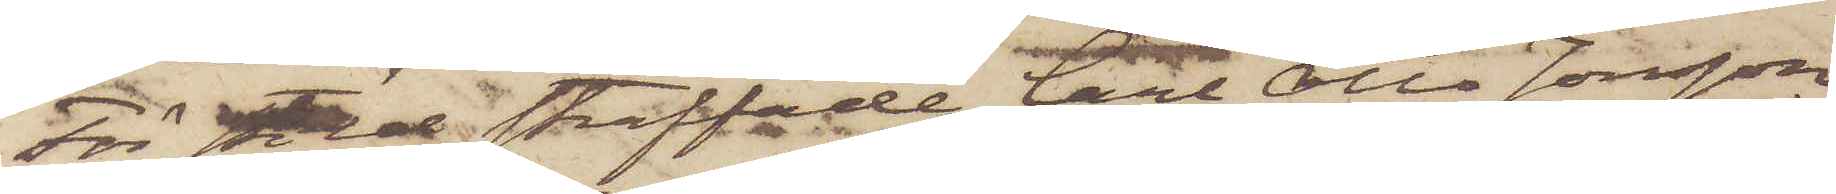För stöld straffade Carl Otto Jonsson
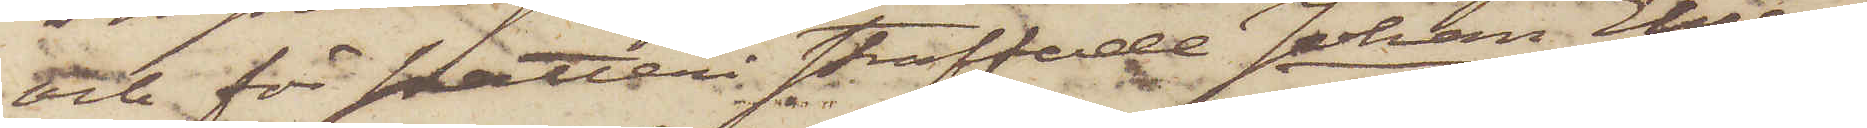och för snatteri straffade Johan Ehren¬
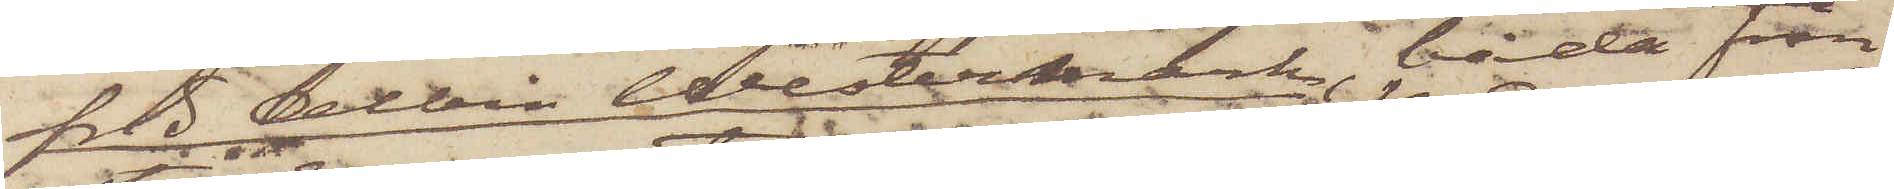frid Albin Westermark, båda från
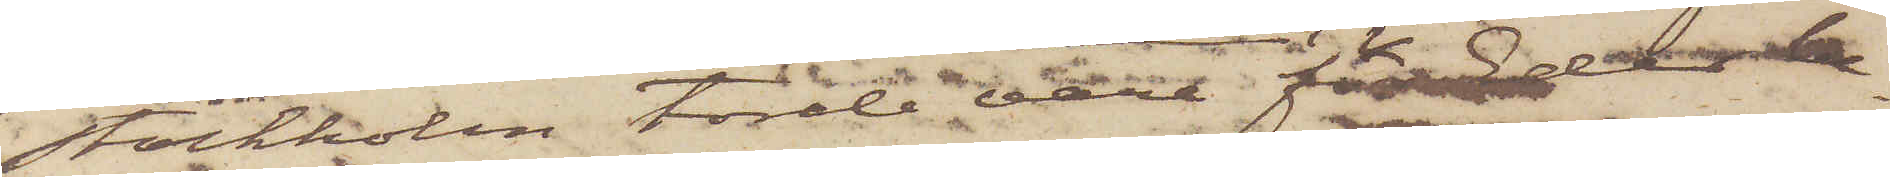Stockholm torde vara Eder be¬
